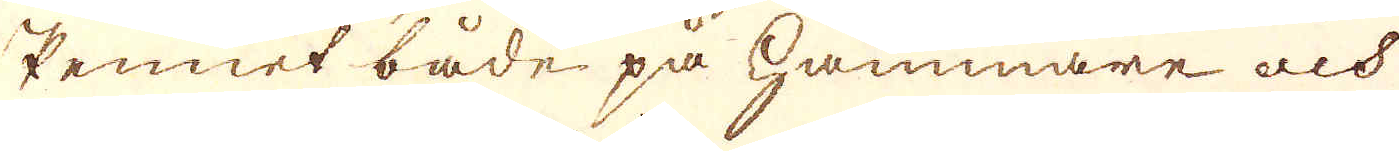Pennet både på hammare och
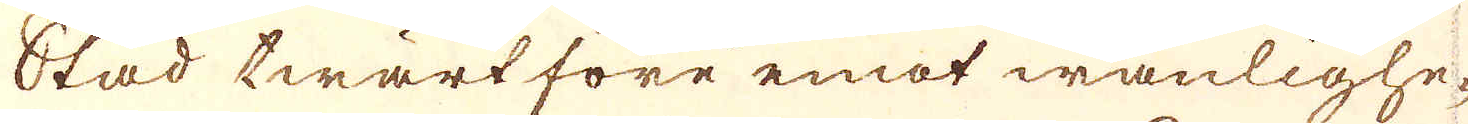Städ twärtföre emot wanlighe-
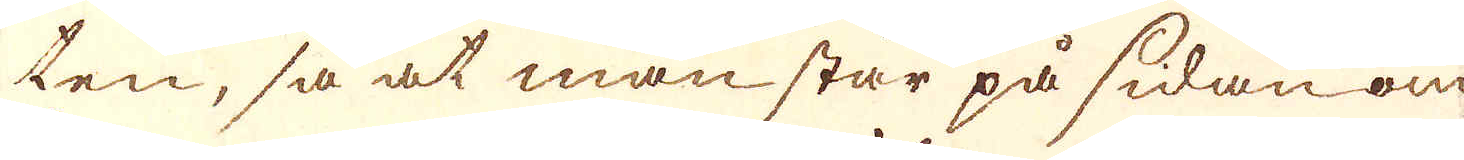ten, så at man står på sidan om
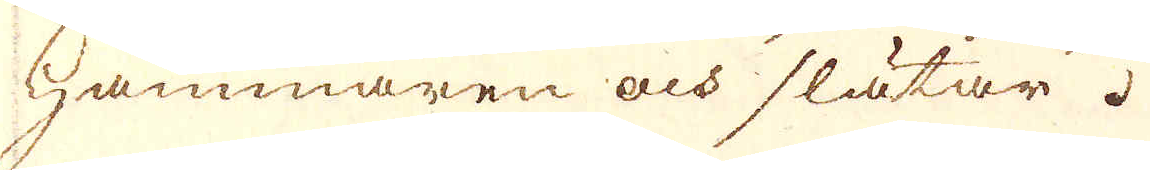hammaren och slätar.
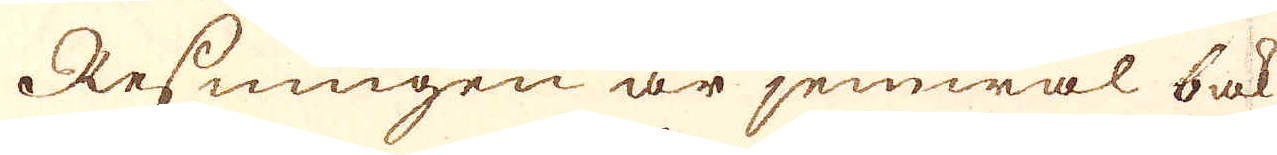Resningen är jemwäl bak
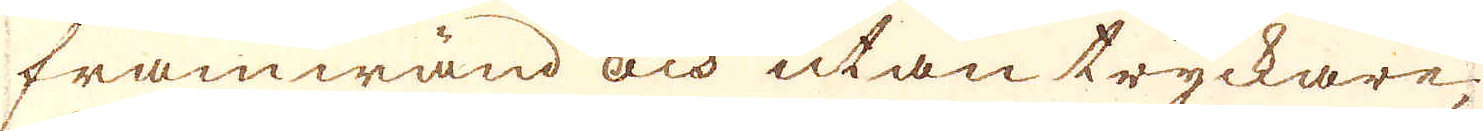framwänd och utan tryckare,
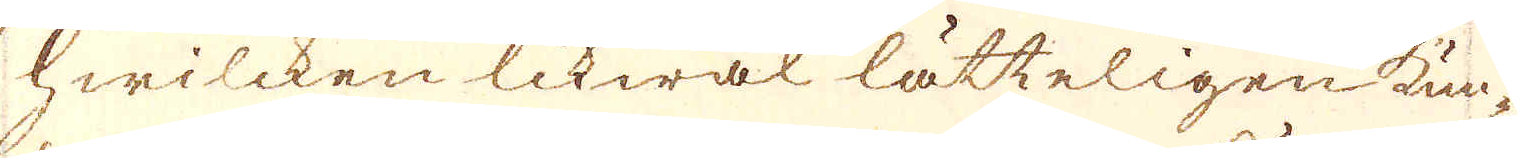hwilcken likwäl lätteligen kun-
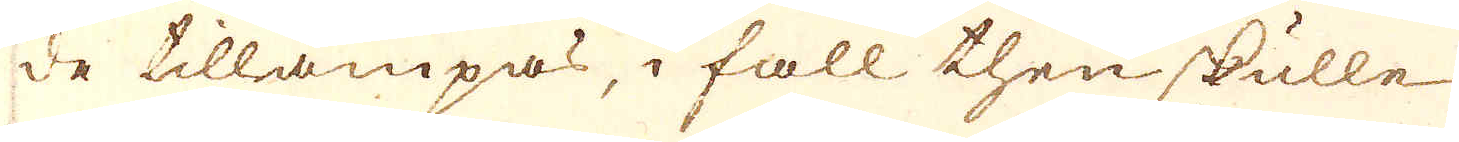de tillämpas, i fall then skulle
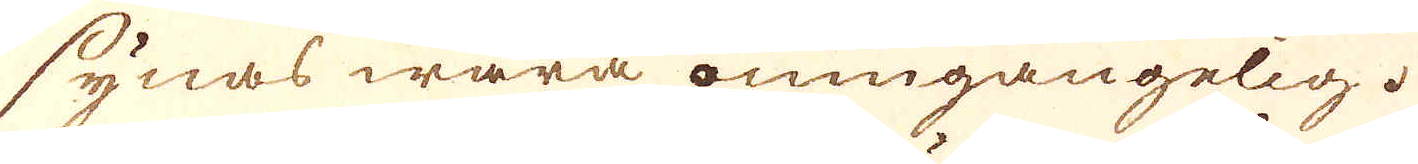synas wara oumgängelig.
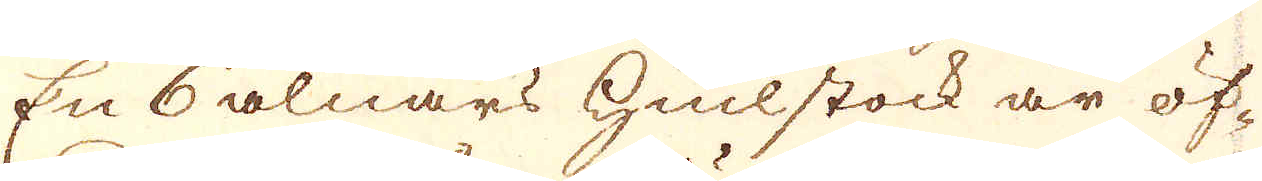En 6 alnars hiulstock är öf-
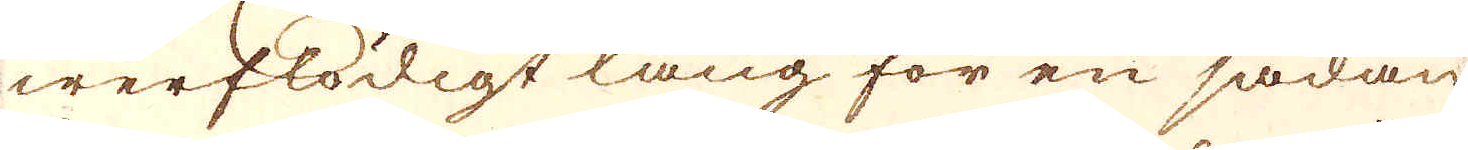werflödigt lång för en sådan
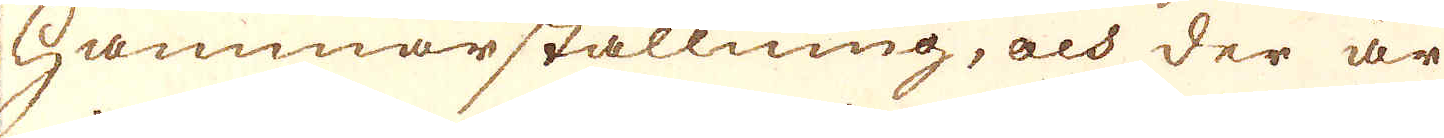Hammarställning, och der är
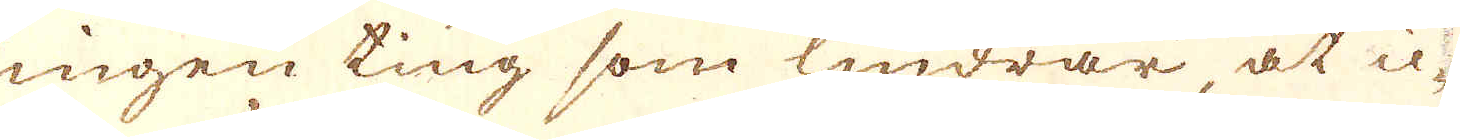ingen ting som lindrar at ic-
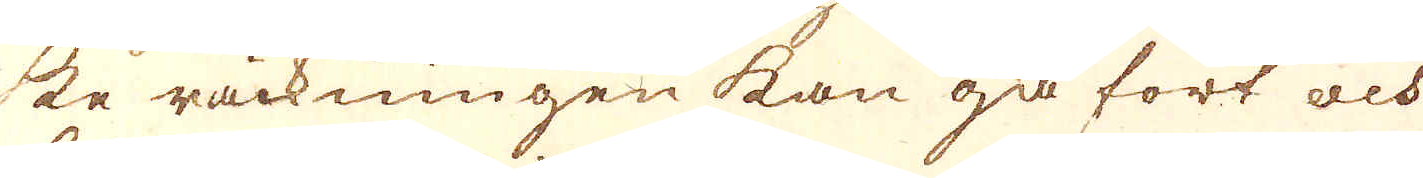ke räckningen kan gå fort och
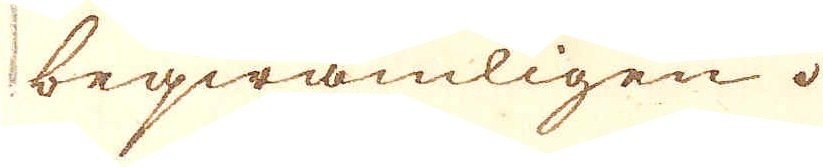beqwämligen.
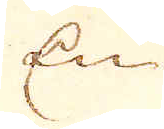En
